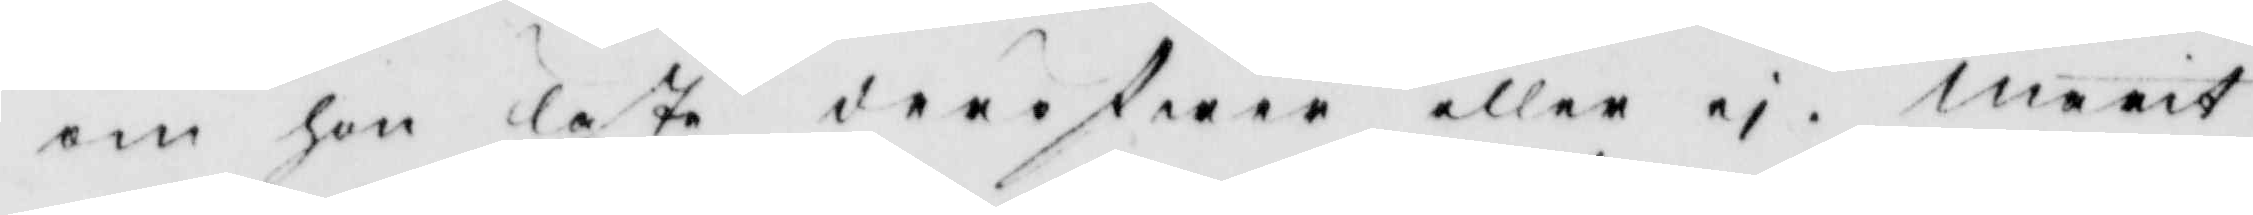om hon läste deröfwer eller ei. marit
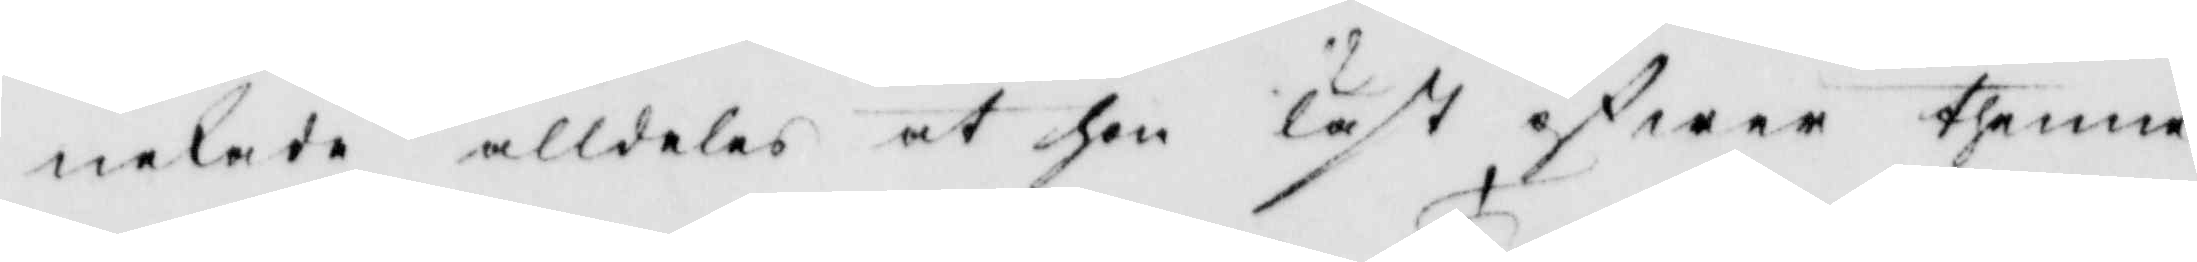nekade alldeles at hon läst öfwer thenne
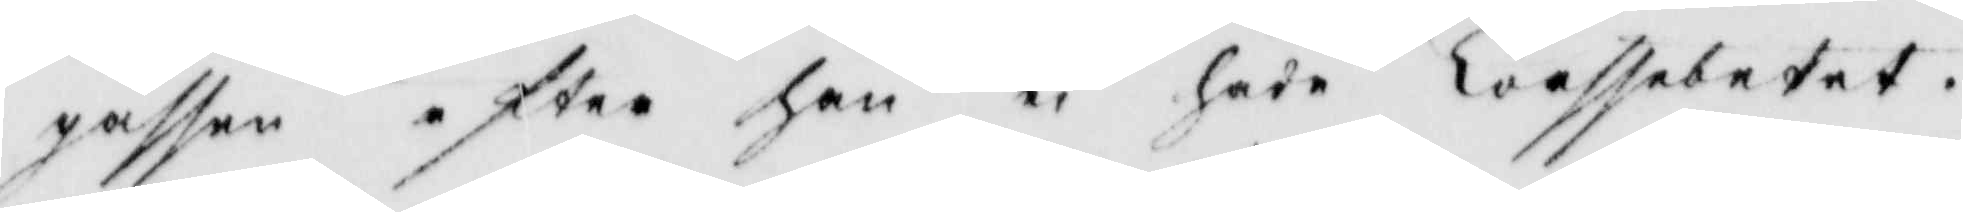gåssen efter han ei hade trossebetet.
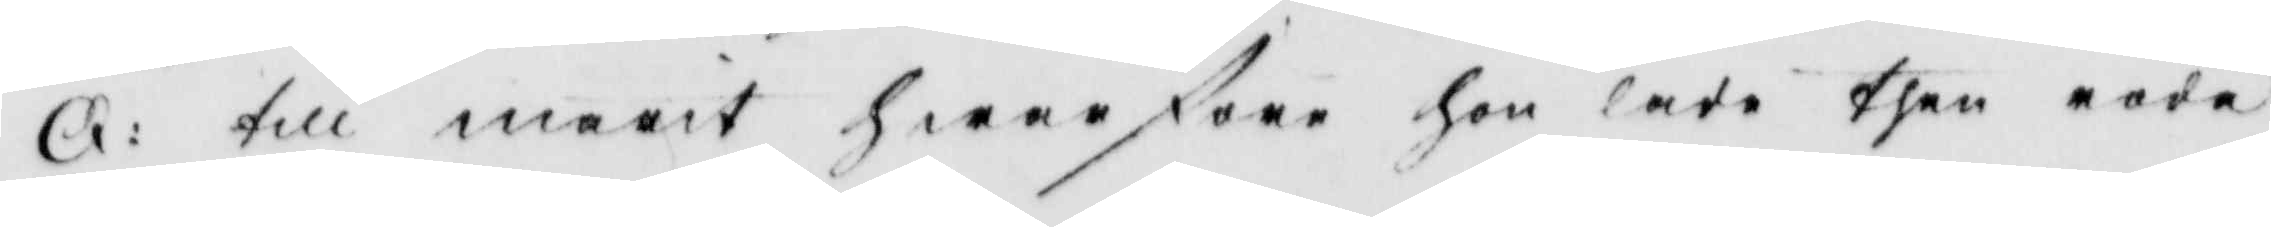Q: till marit hwarföre hon lade then röde
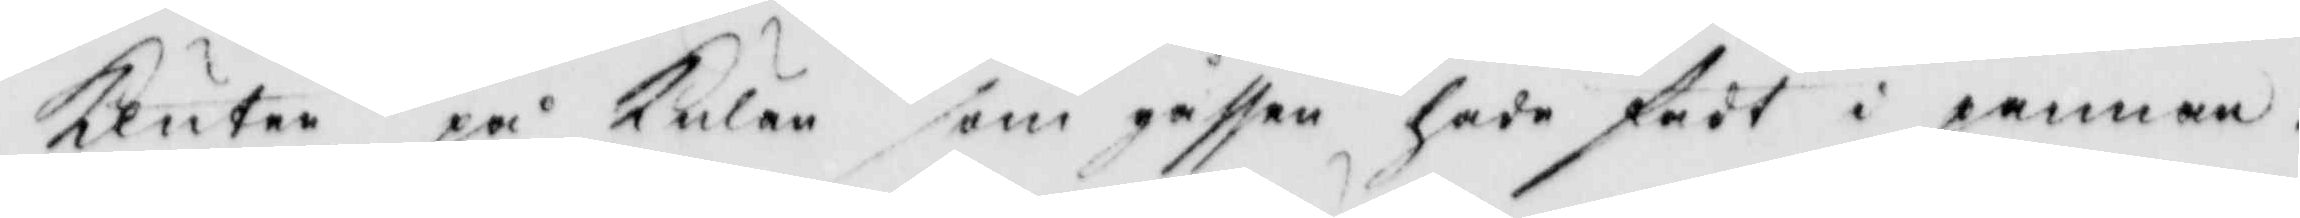kluten på Kulan som gåssen hade fådt i pannan.
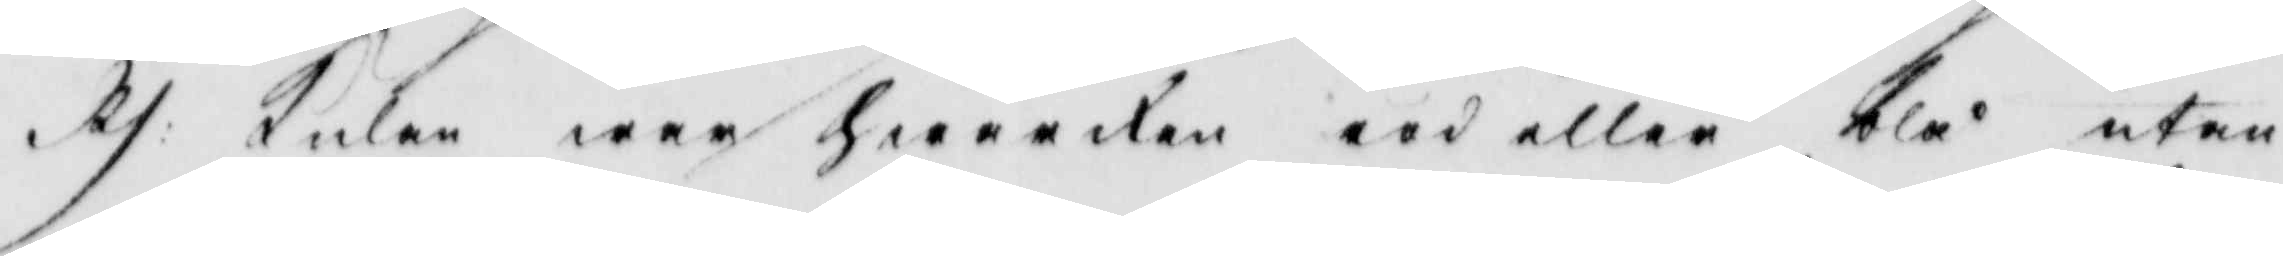Rs: Kulan war hwarken röd eller blå utan
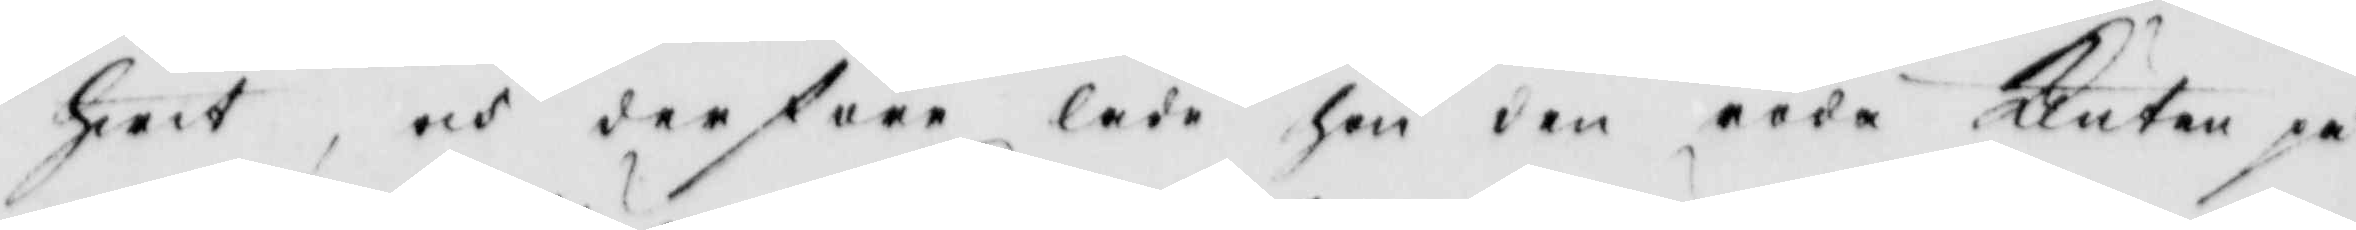hwit, och derföre lade hon den röda Kutan på
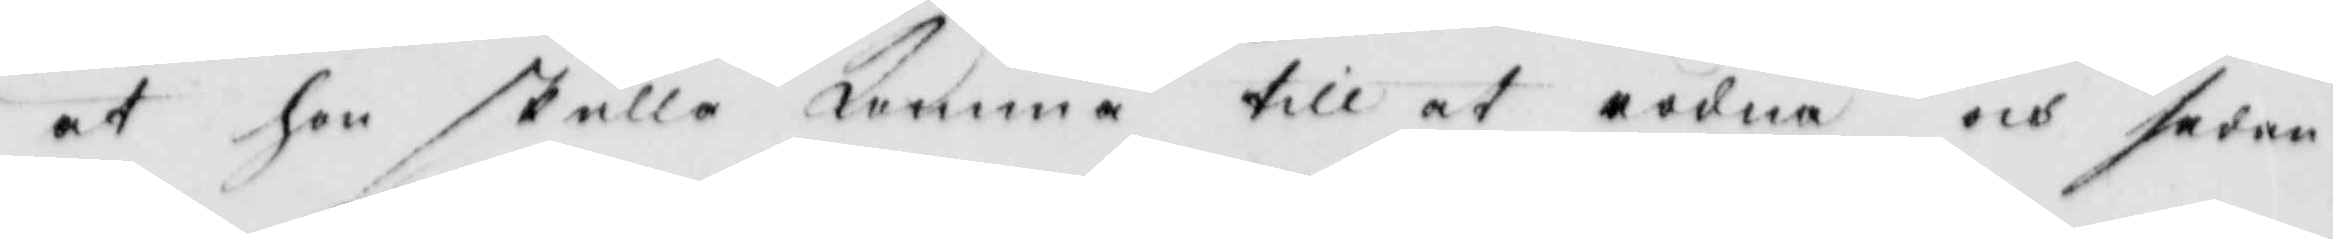at hon skulle komma till at rödna och sedan
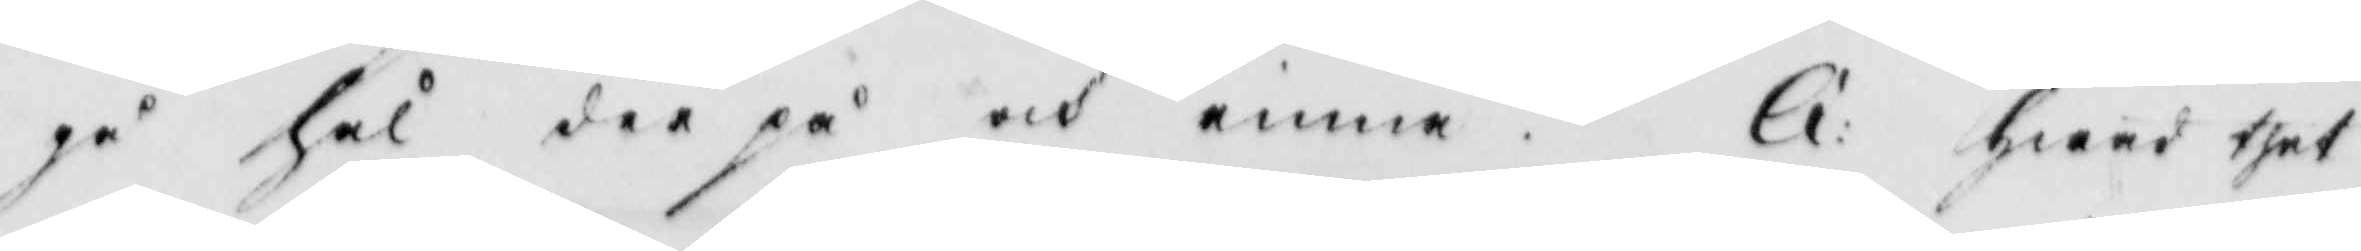gå hål der på och einne. Q: Hwad thet
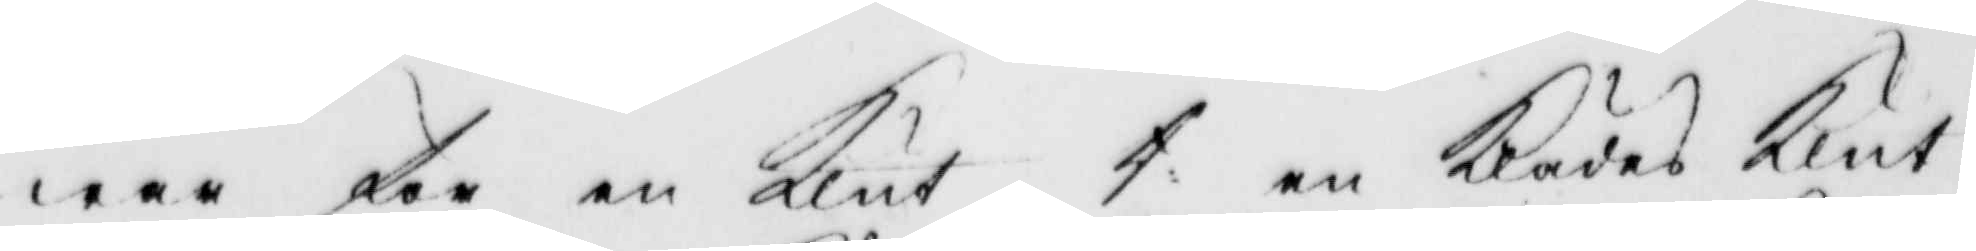war för en Klut t en Klädes Klut
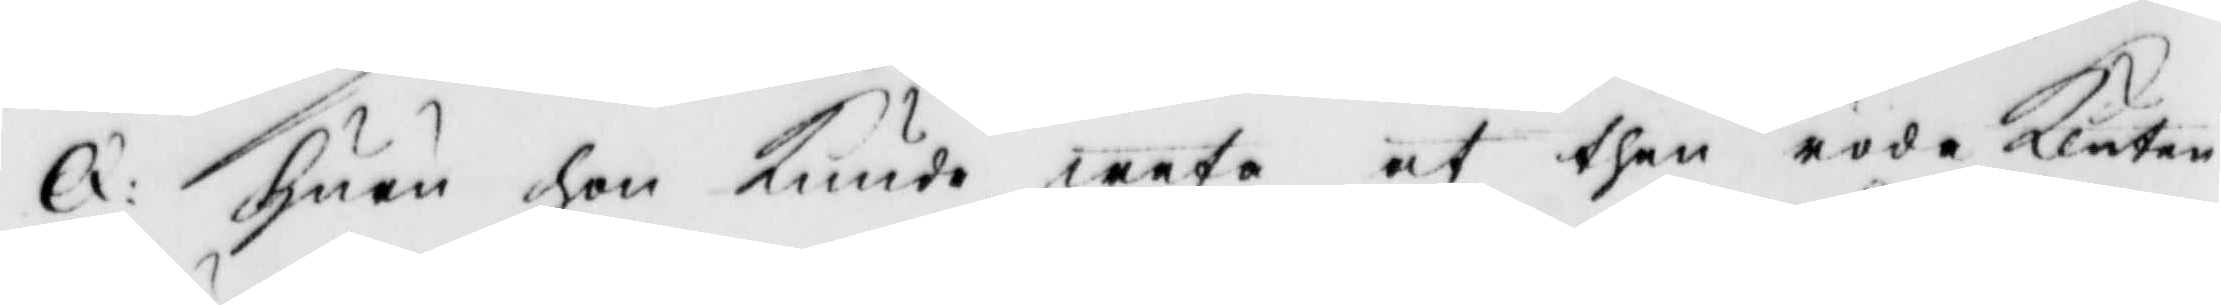Q. Huru hon Kunde weta at then röde Kluten
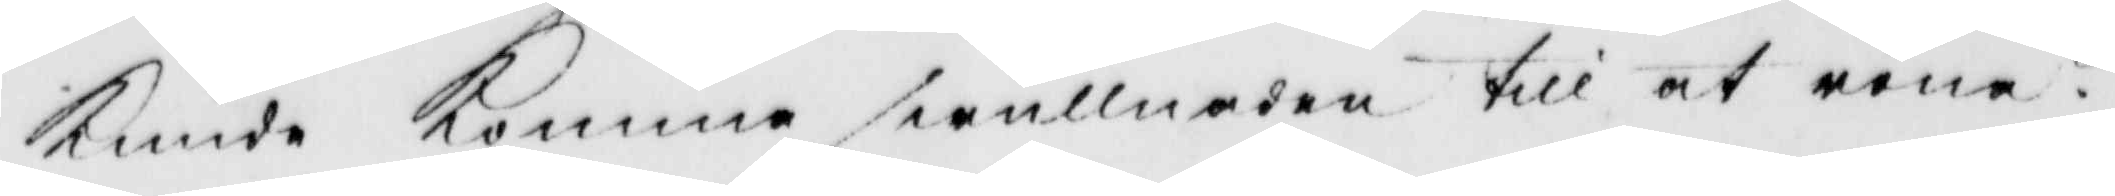Kunde Komme swullnaden till at röna?
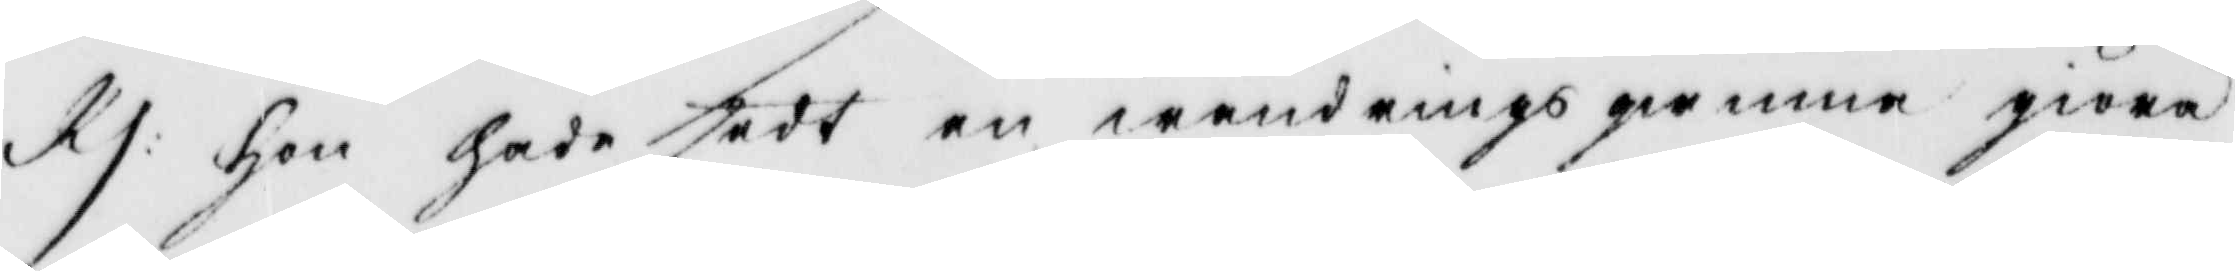Rs: Hon hade sedt en wandrings gumma giöra 
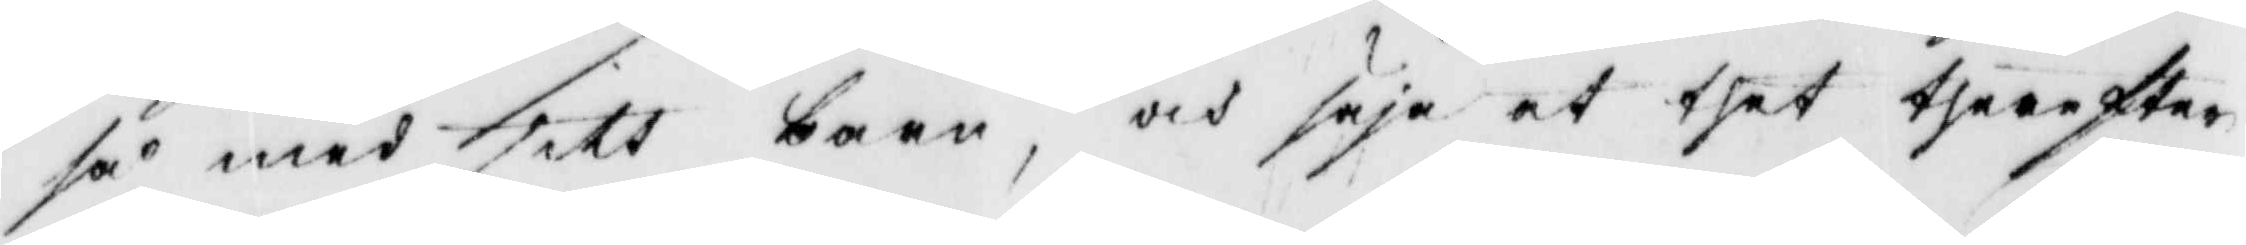så med sitt barn, och säja at thet therefter
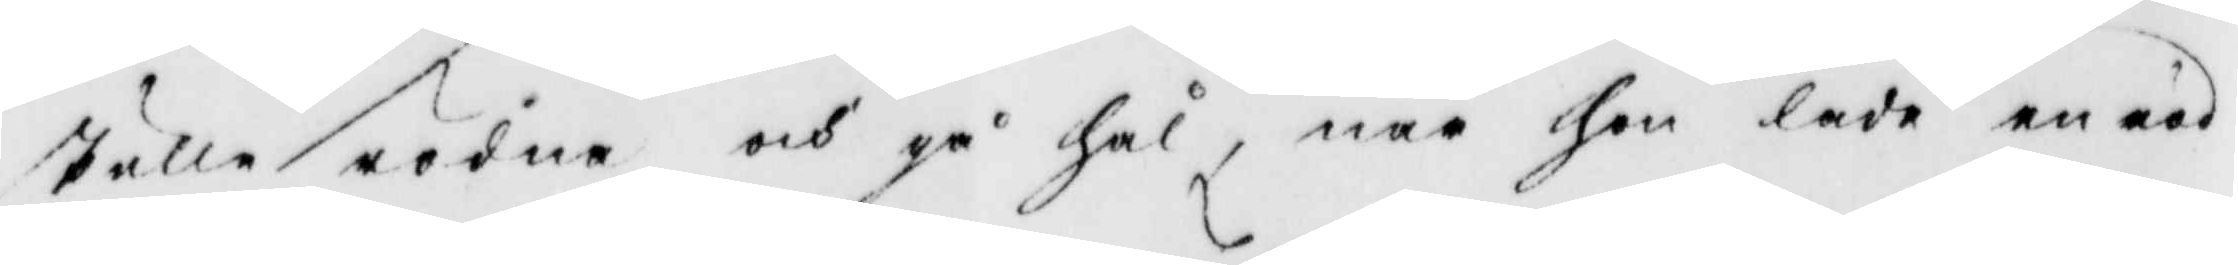skulle rödna och gå hål, när hon lade en röd
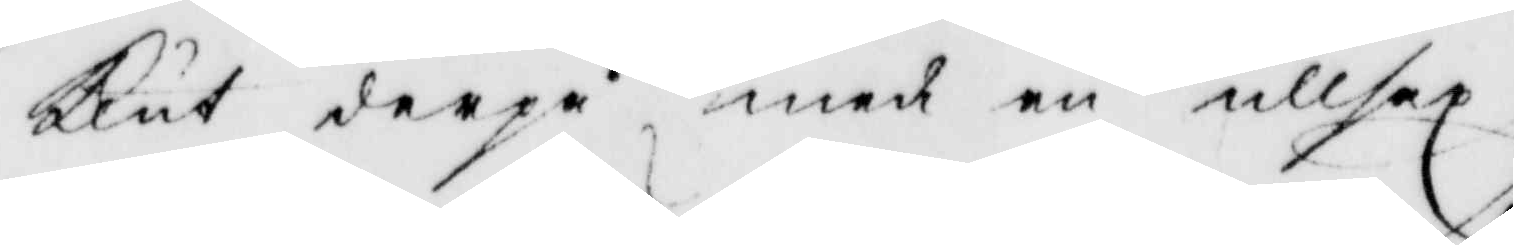Klut derpå med en ullsax.
